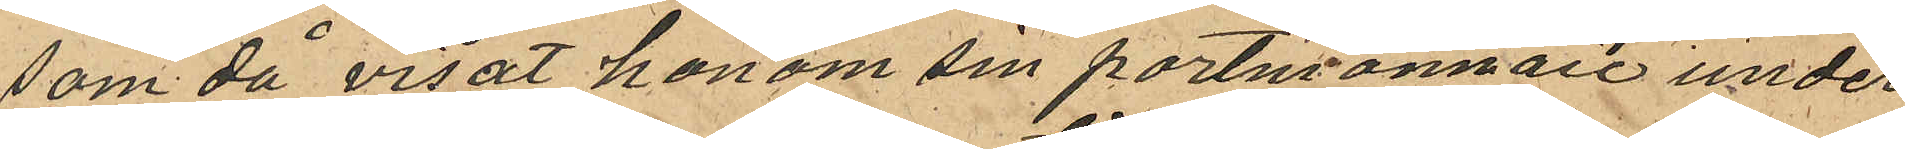som då visat honom sin portmonnaie under
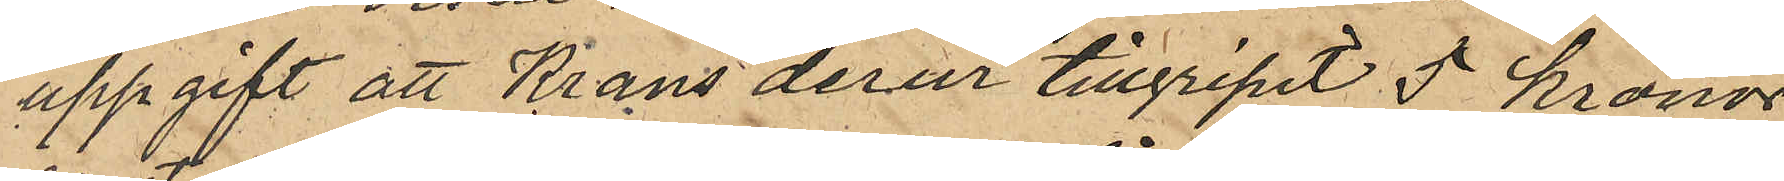uppgift att Krans derur tillgripit 5 kronor
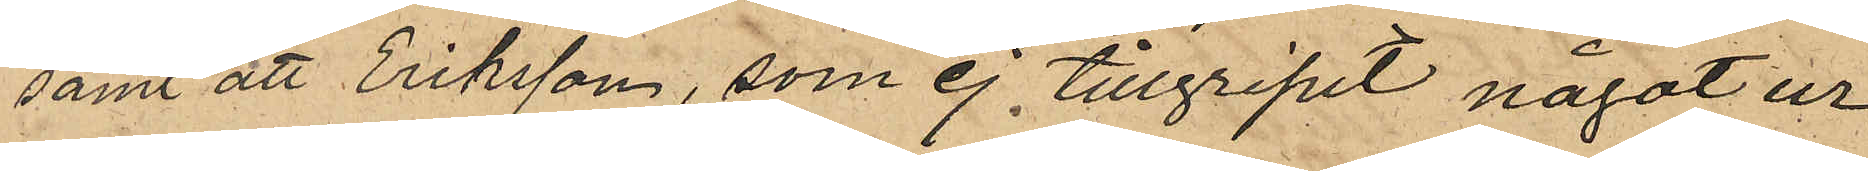samt att Eriksson, som ej tillgripit något ur
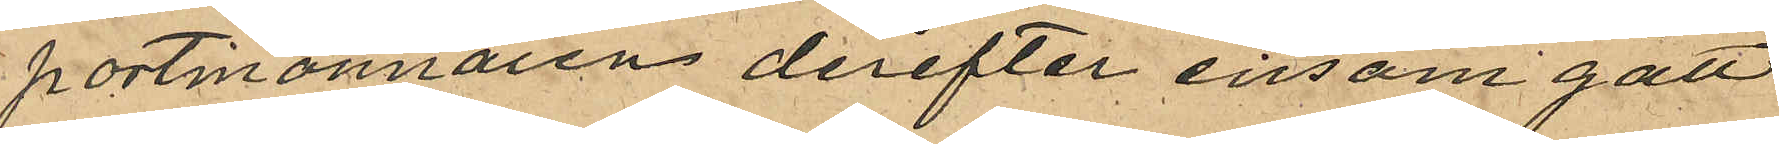portmonnaien derefter ensam gått
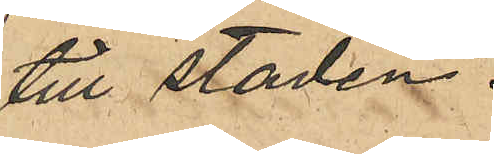till staden.
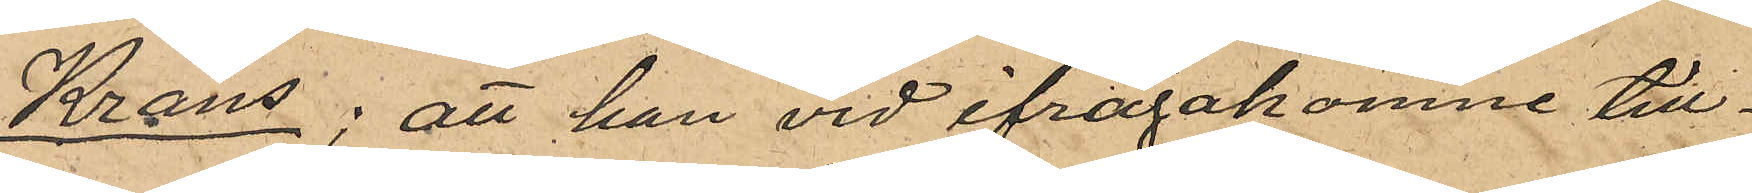Krans; att han vid ifrågakomne till¬
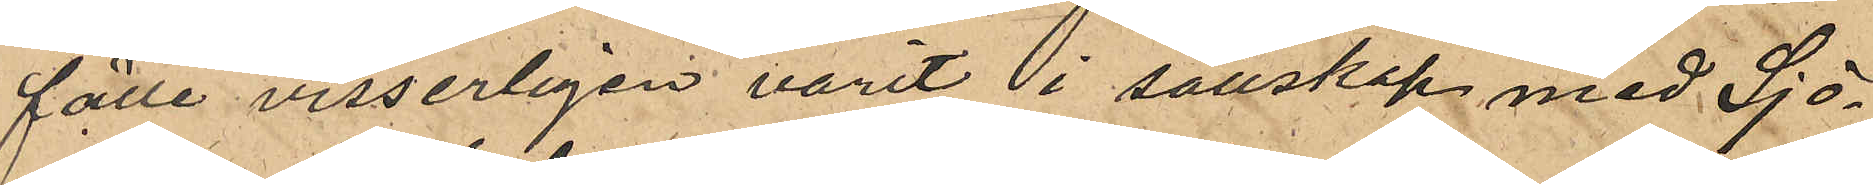fälle visserligen varit i sällskap med Sjö¬
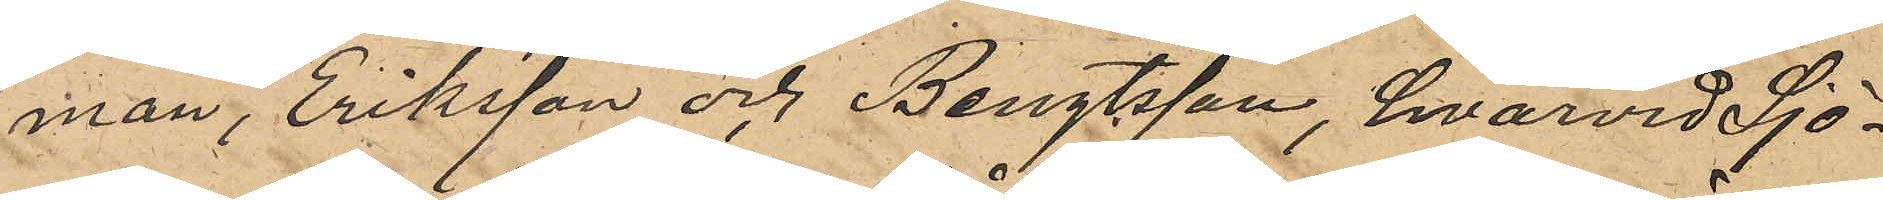man, Eriksson och Bengtsson, hvarvid Sjö¬
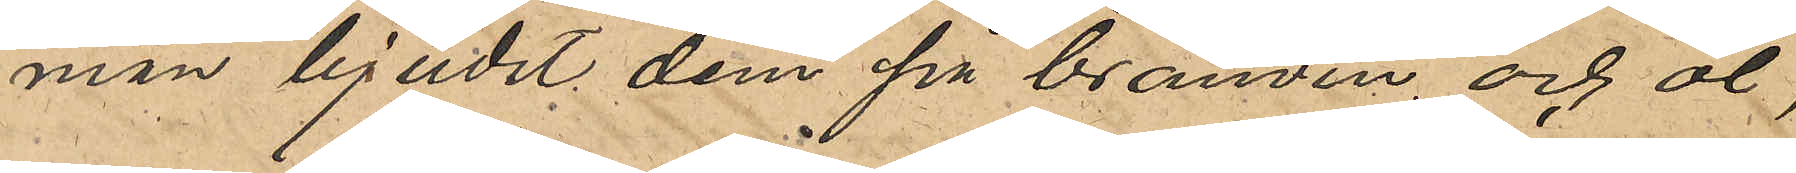man bjudit dem på bränvin och öl,
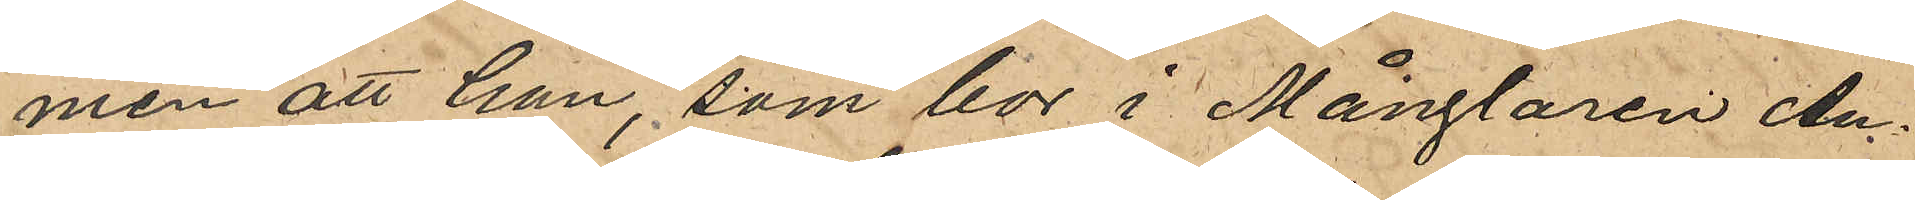men att han, som bor i Månglaren An¬
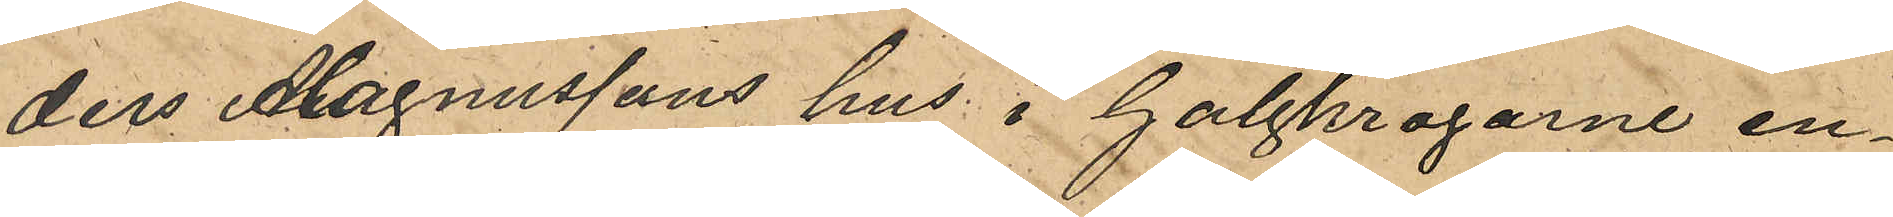ders Magnussons hus i Galgkrogarne en¬
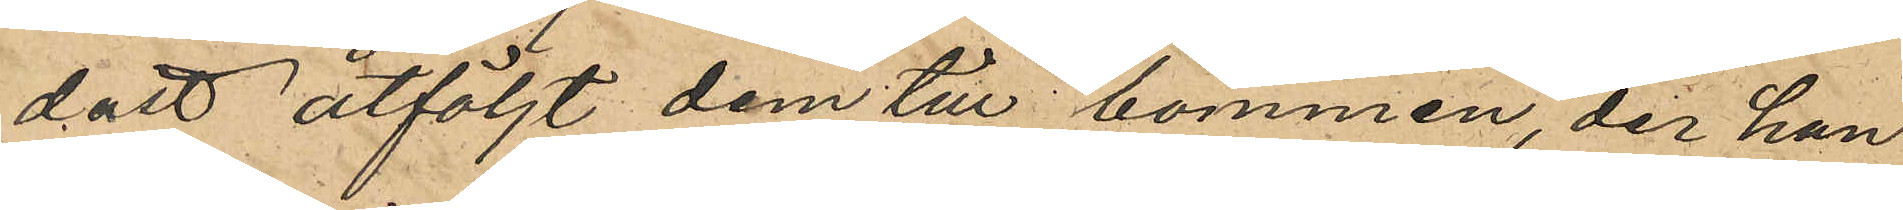dast åtföljt dem till bommen, der han
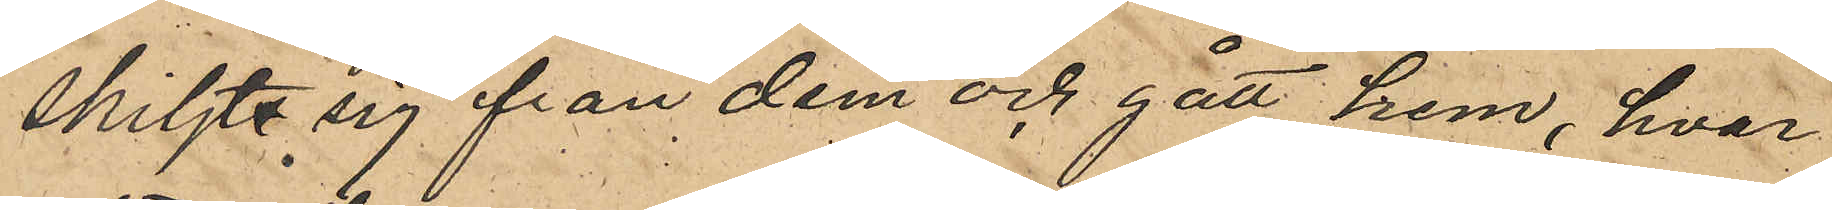skiljte sig från dem och gått hem, hvar¬
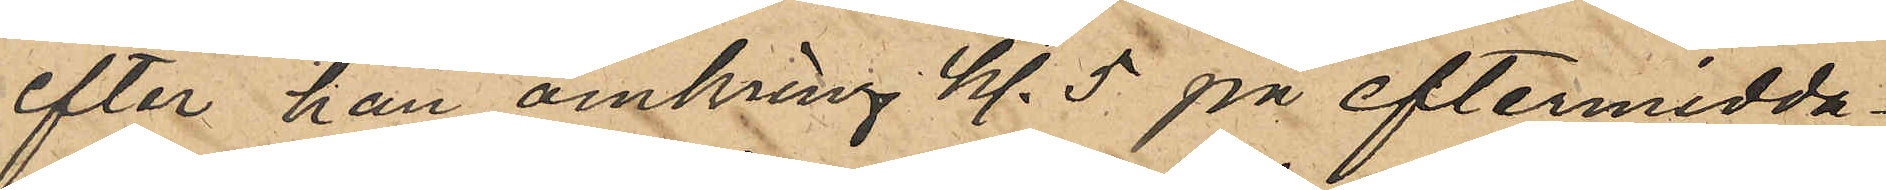efter han omkring kl. 5 på eftermidda¬
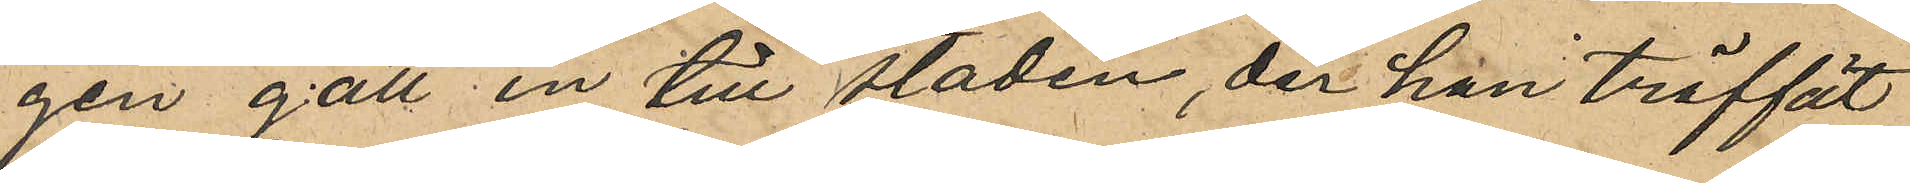gen gått in till staden, der han träffat
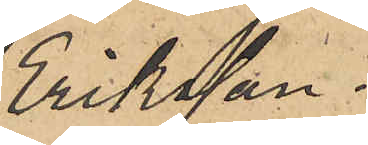Eriksson.
